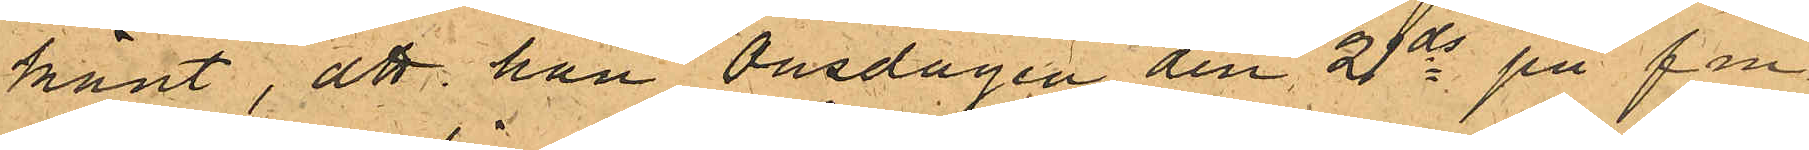känt, att han Onsdagen den 21 ds på fm,
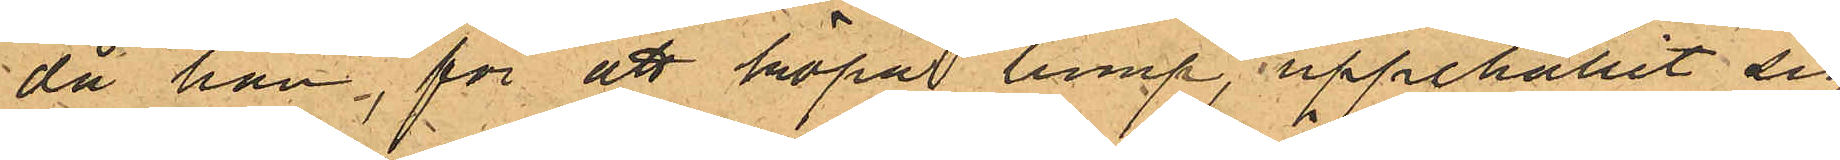då han, för att köpa lump, uppehållit sig
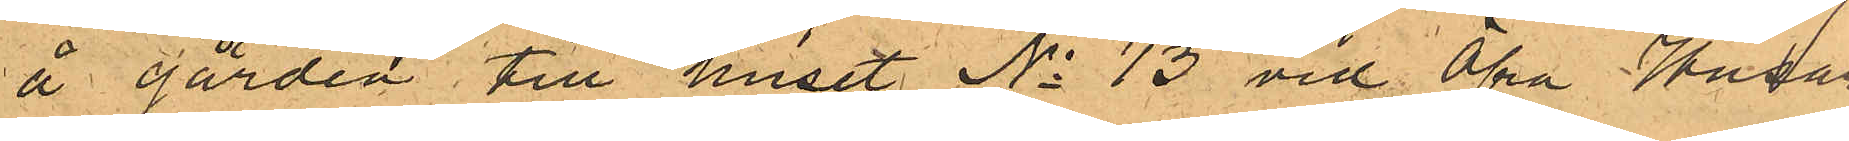å gården till huset No 13 vid Öfra Husar¬
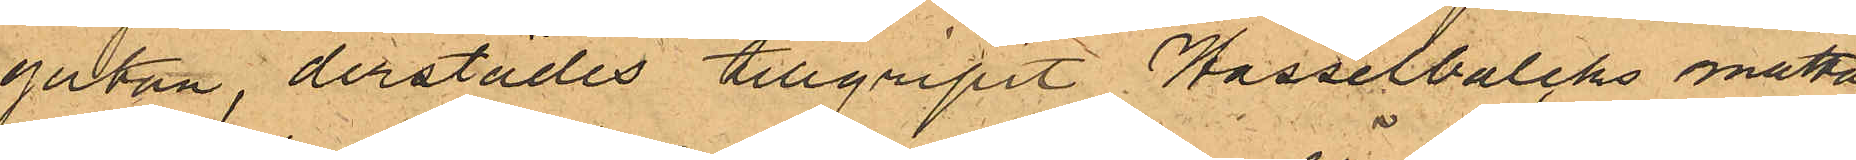gatan, derstädes tillgripit Hasselbalcks matta,
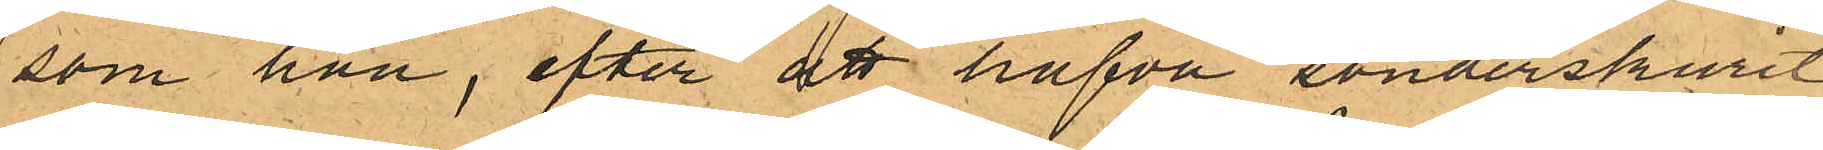som han, efter att hafva sönderskurit
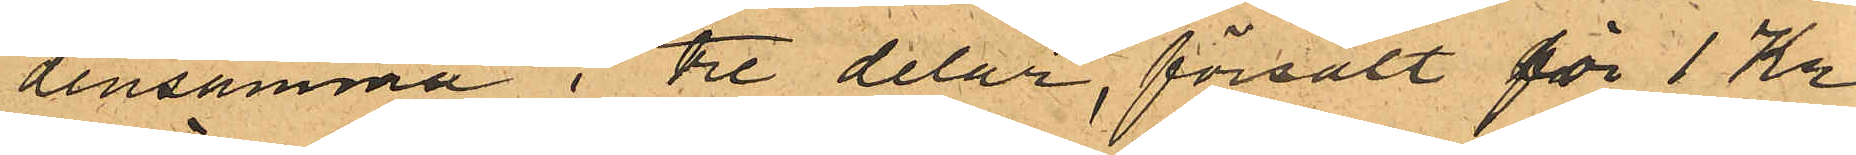densamma i tre delar, försålt för 1 Kr
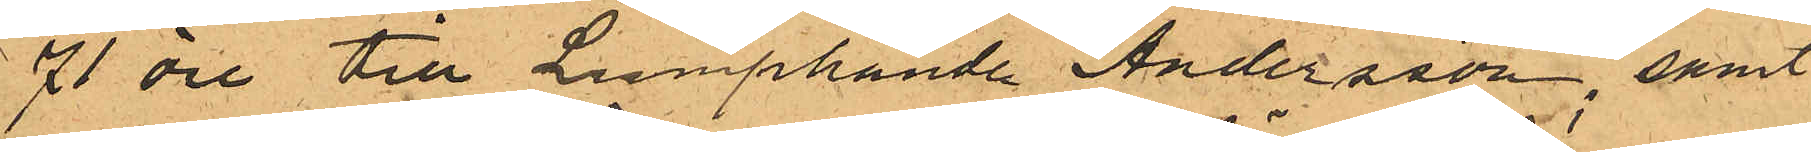71 öre till Lumphandl. Andersson, samt
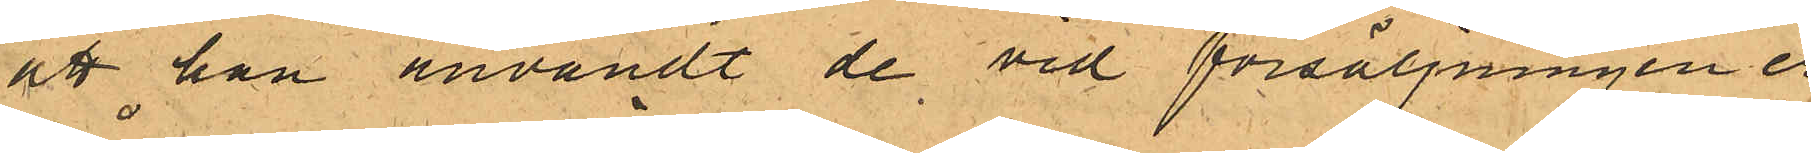att han användt de vid försäljningen er¬
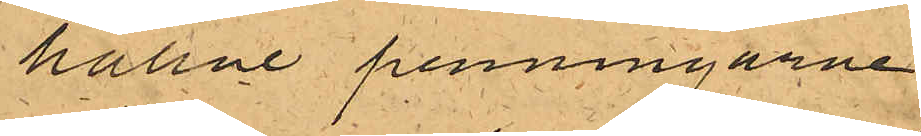hållne penningarne.
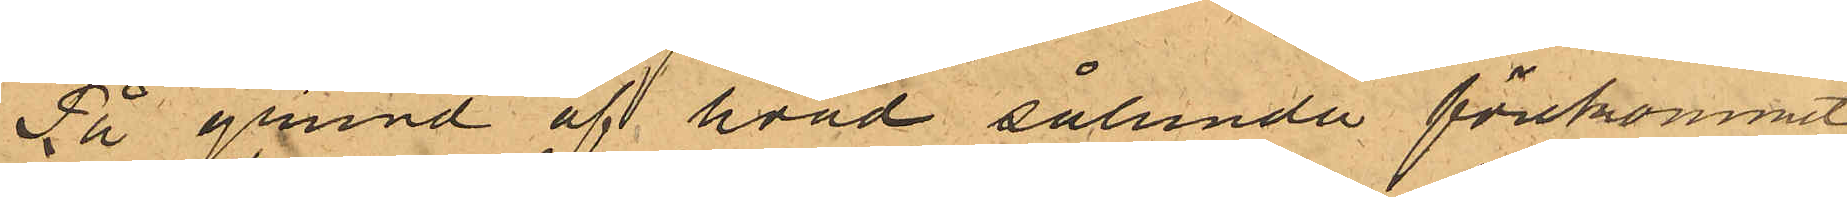På grund af hvad sålunda förekommit
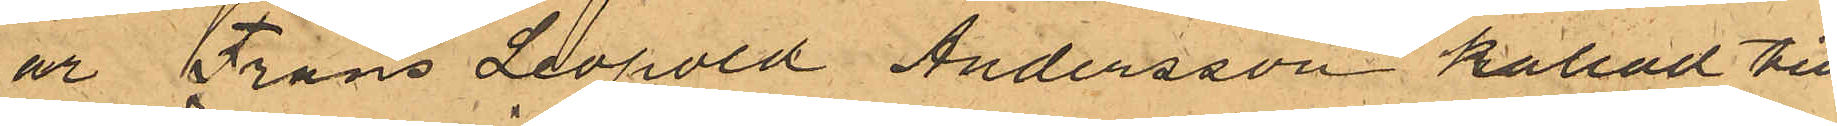är Frans Leopold Andersson kallad till
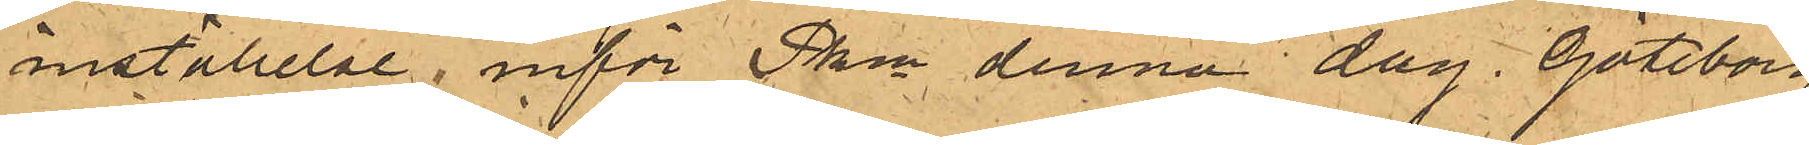inställelse inför Pkn denna dag. Göteborg
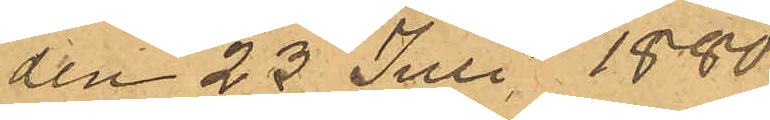den 23 Juli 1880.
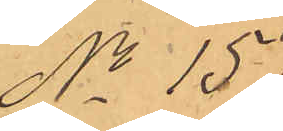No 157.
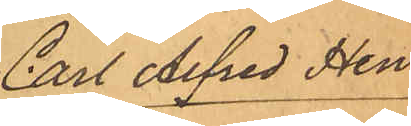Carl Alfred Hen¬
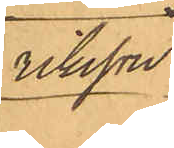riksson.
